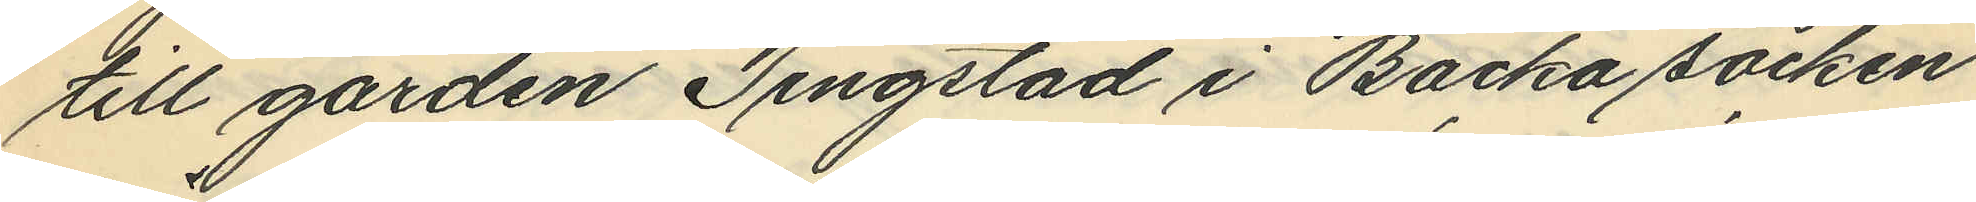till gården Tingstad i Backa socken
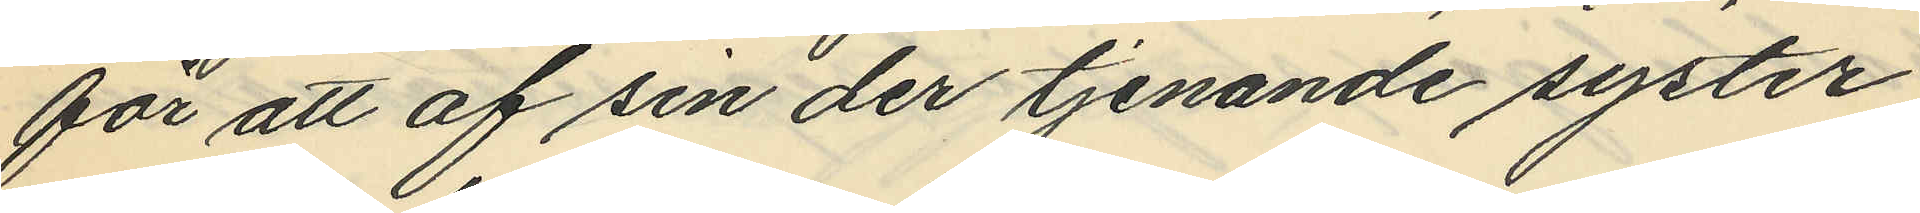för att af sin der tjenande syster
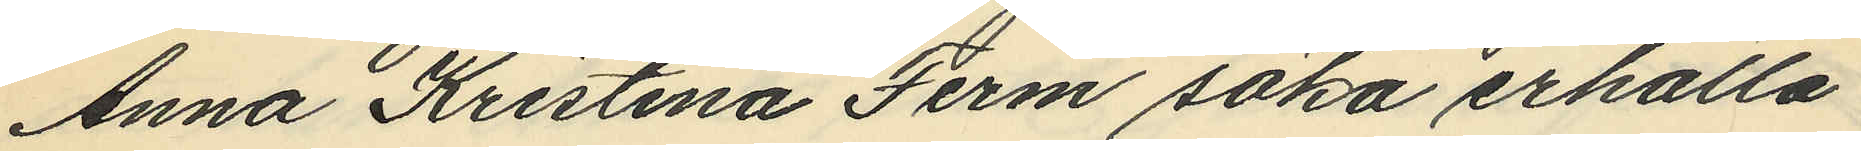Anna Kristina Ferm söka erhålla
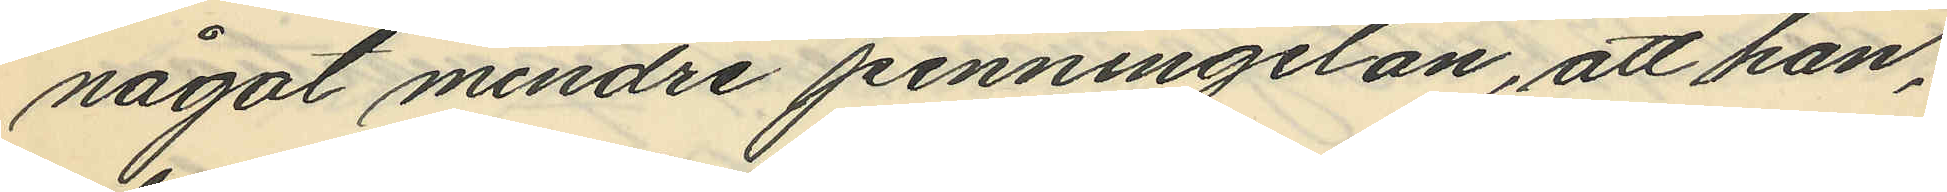något mindre penningelån, att han,
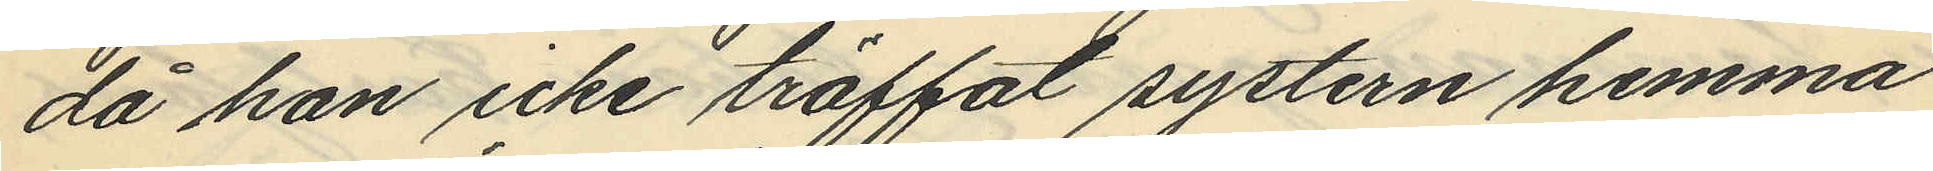då han icke träffat systern hemma
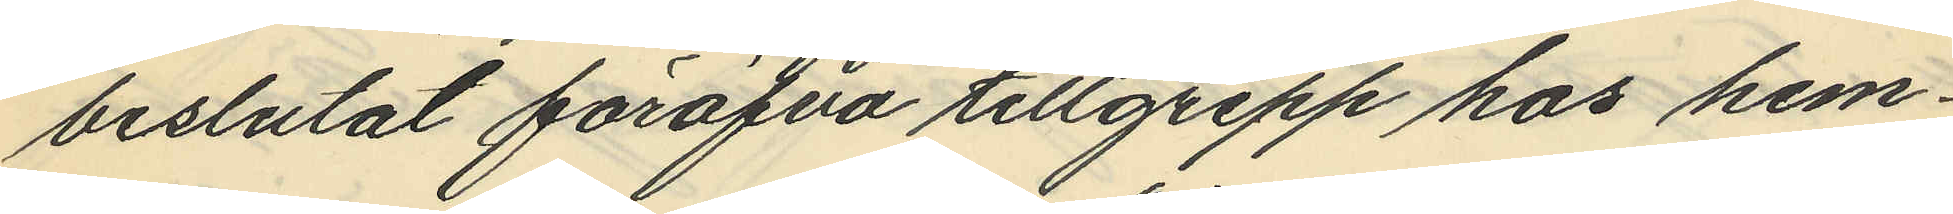beslutat föröfva tillgrepp hos hem¬
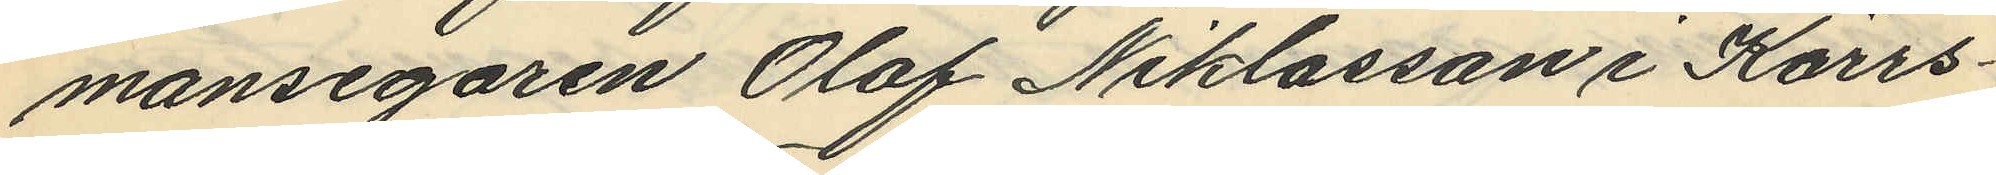mansegaren Olof Niklasson i Kärrs¬
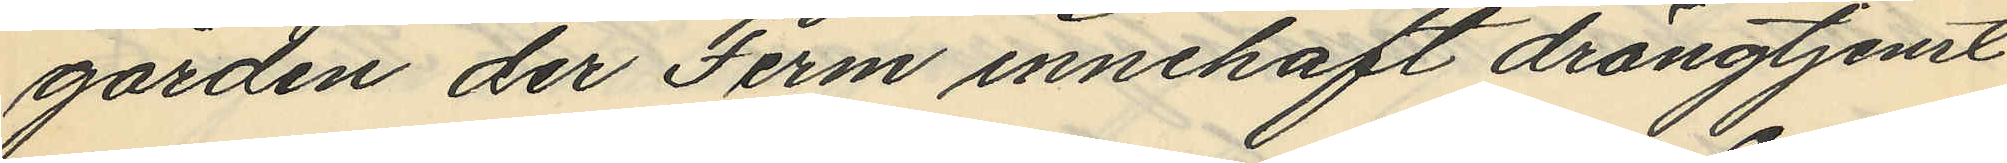gården der Ferm innehaft drängtjenst
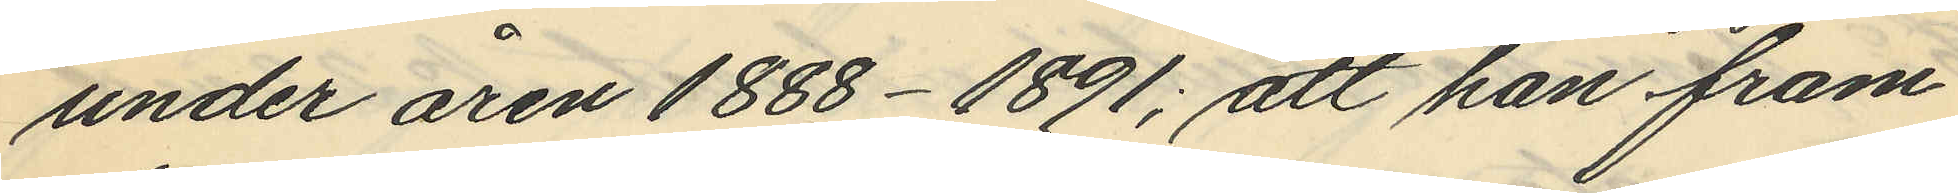under åren 1888-1891; att han fram¬
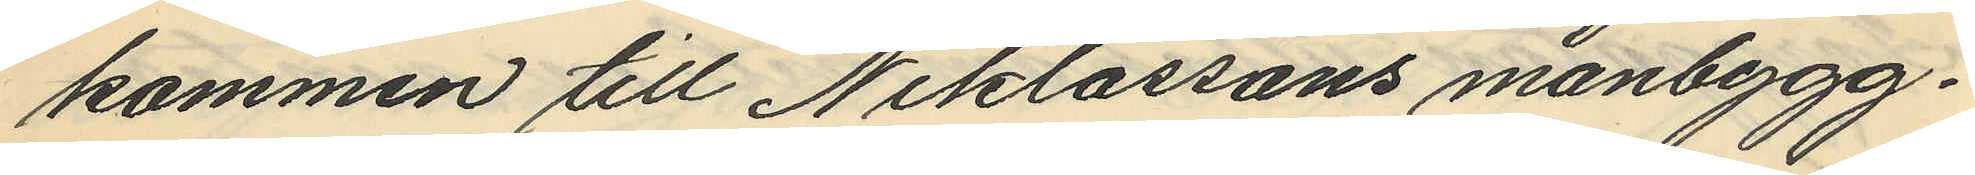kommen till Niklassons manbygg¬
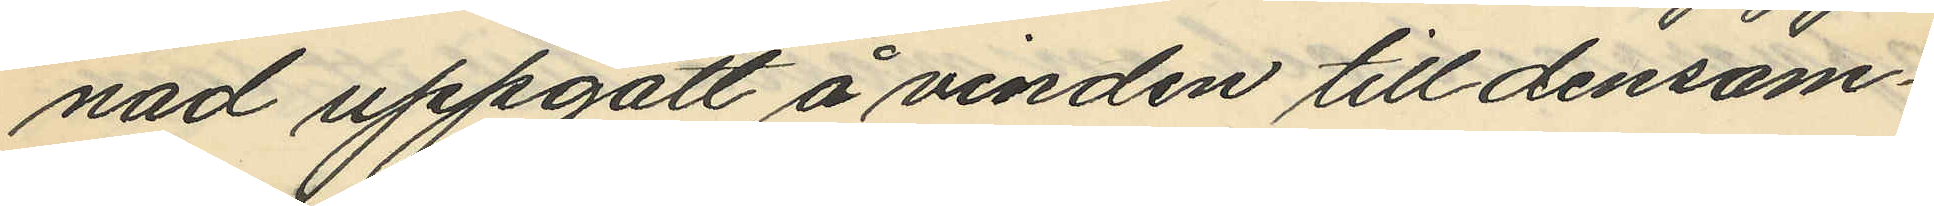nad uppgått å vinden till densam¬
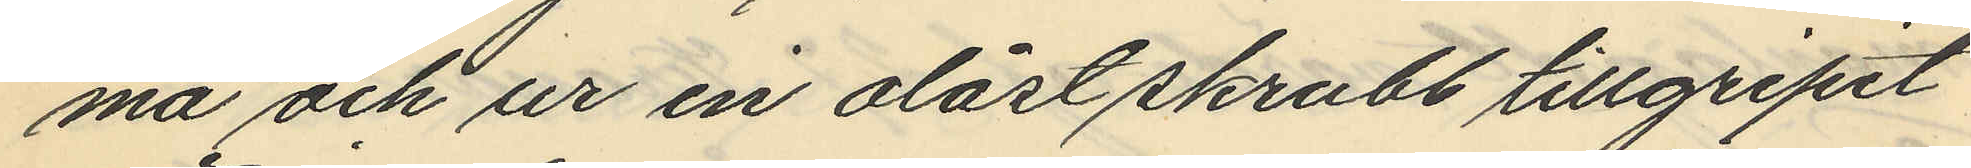ma och ur en olåst skrubb tillgripit
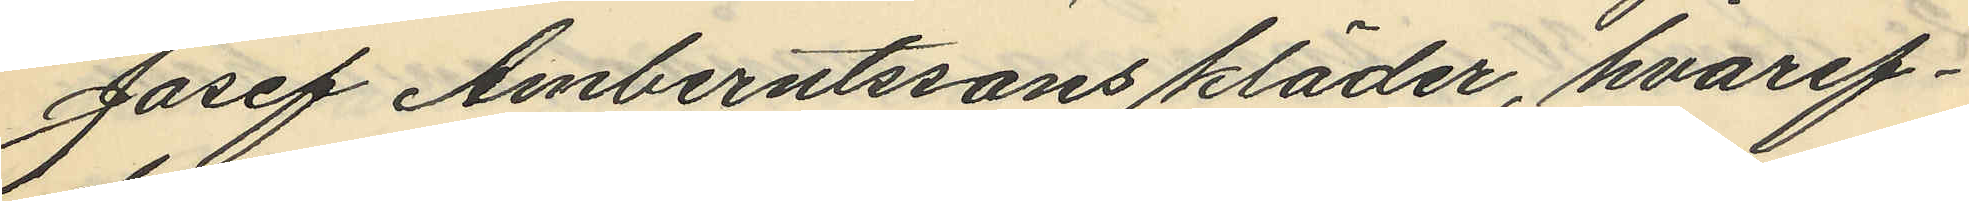Josef Amberntssons kläder, hvaref¬
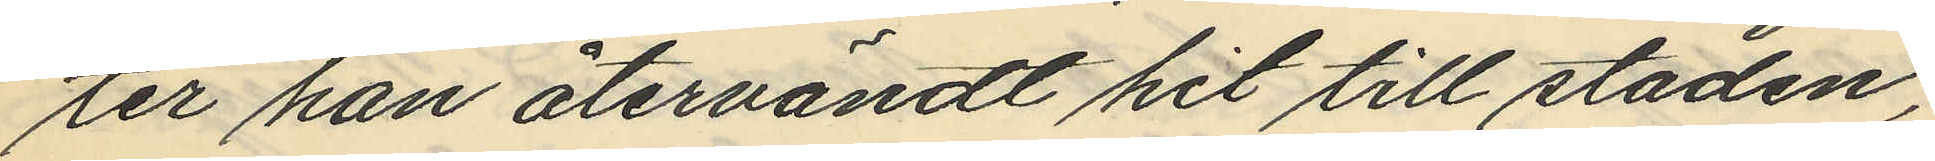ter han återvändt hit till staden;
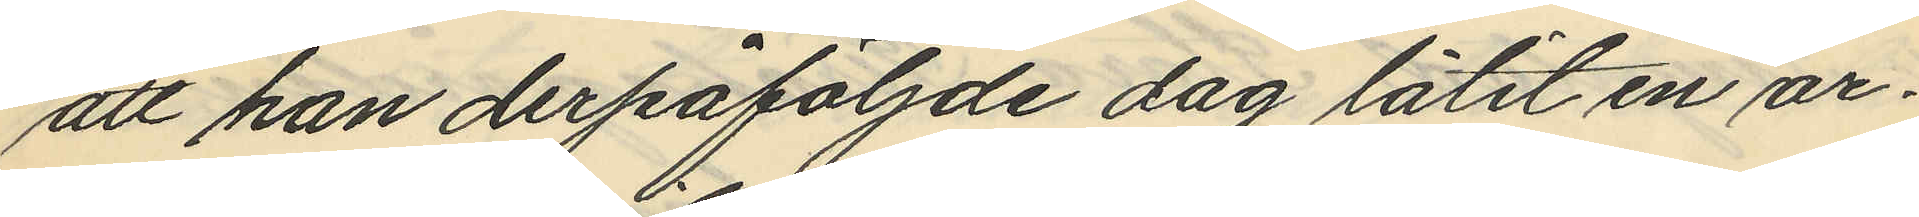att han derpåföljande dag låtit en ar¬
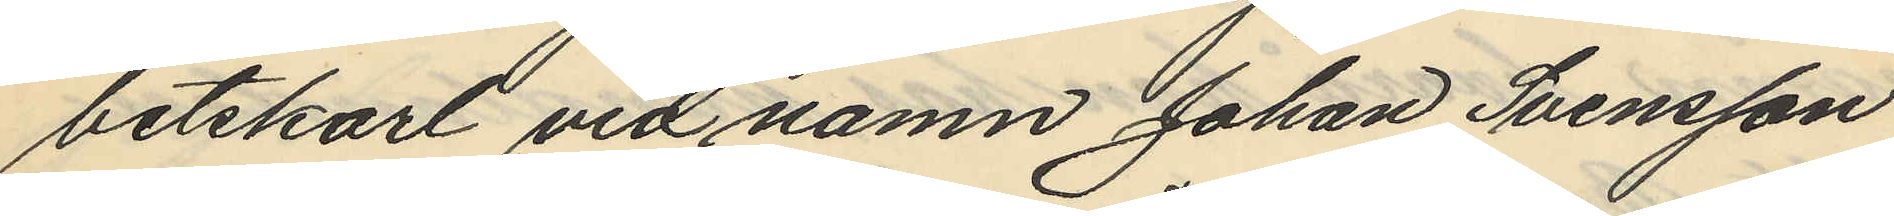betskarl vid namn Johan Svensson
